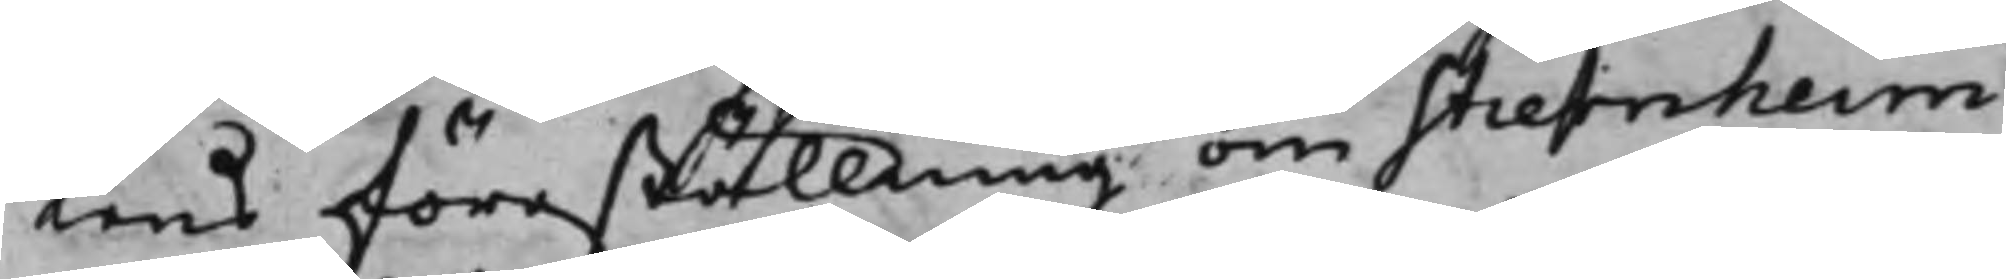tens föreställning om Stiernheim
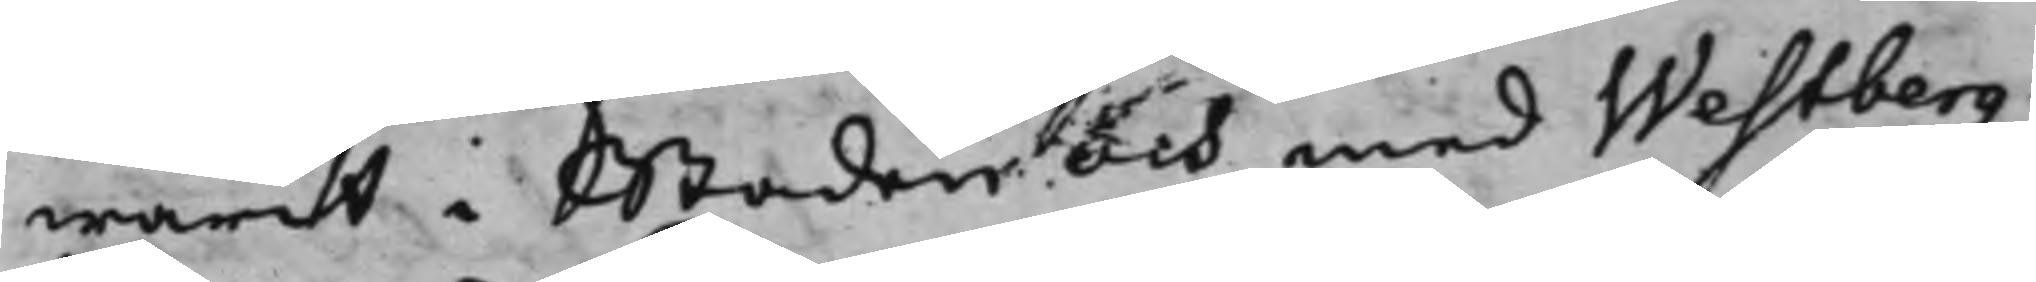warit i Staden och med Westberg
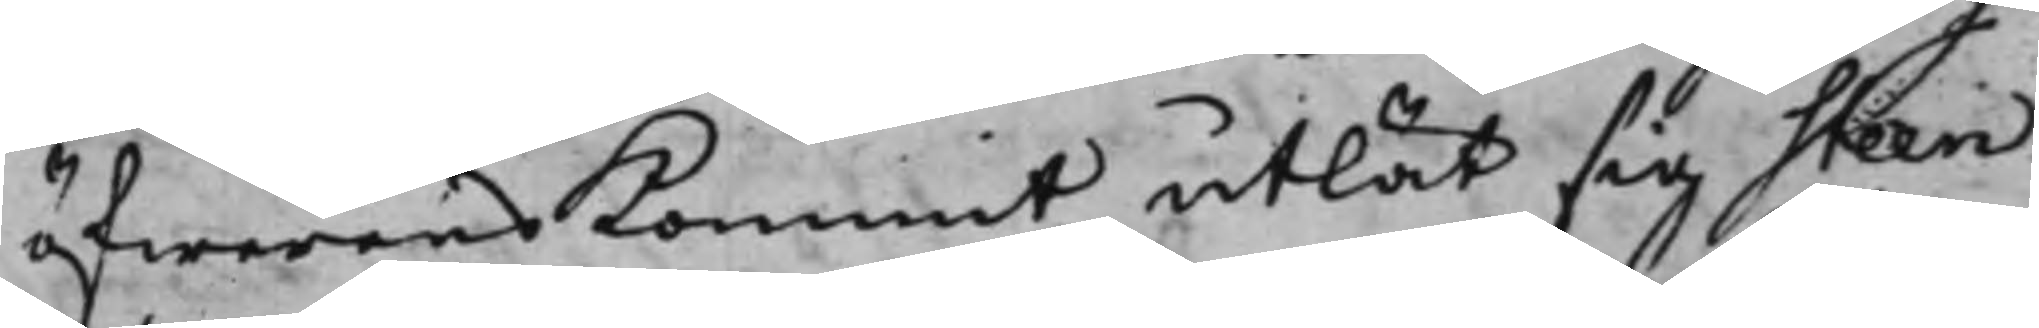öfwerens Kommit, utlät sig Steen
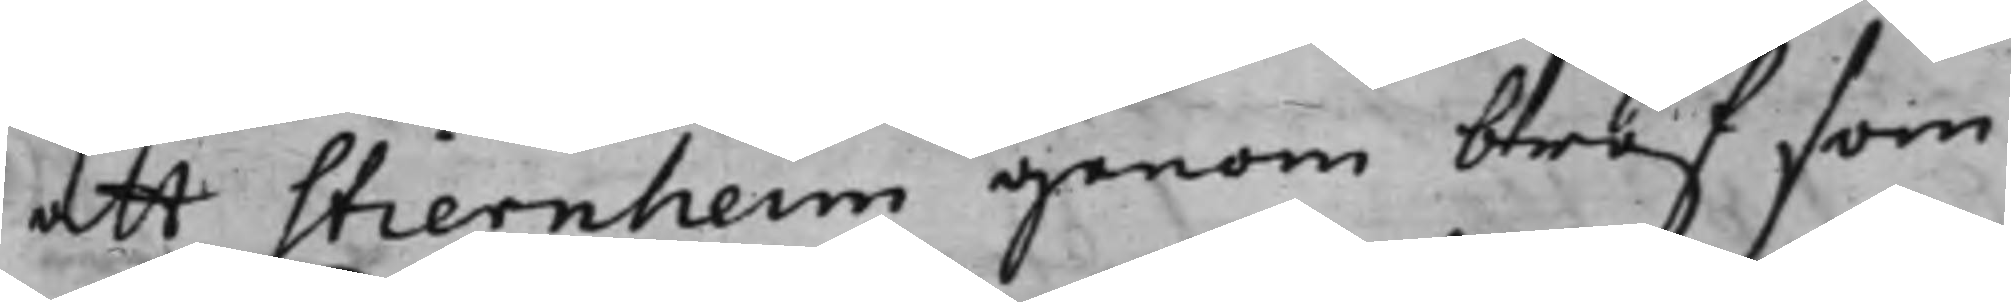att Stiernheim genom bref som
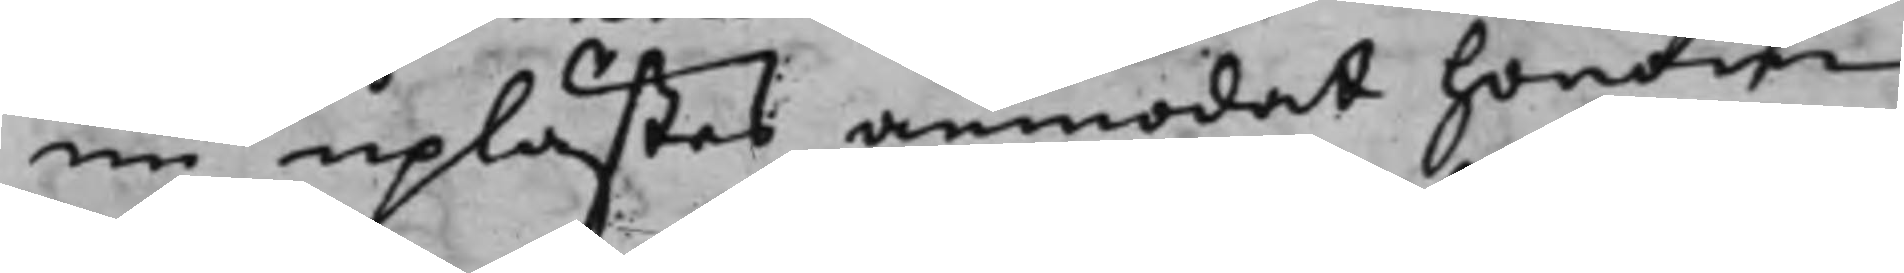nu uplästes anmodat honom
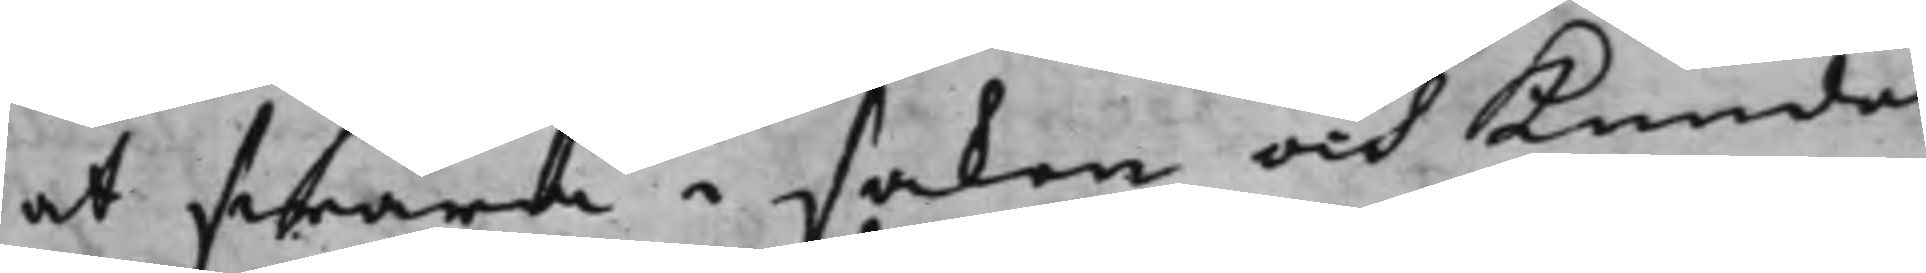at swara i saken och Kunde
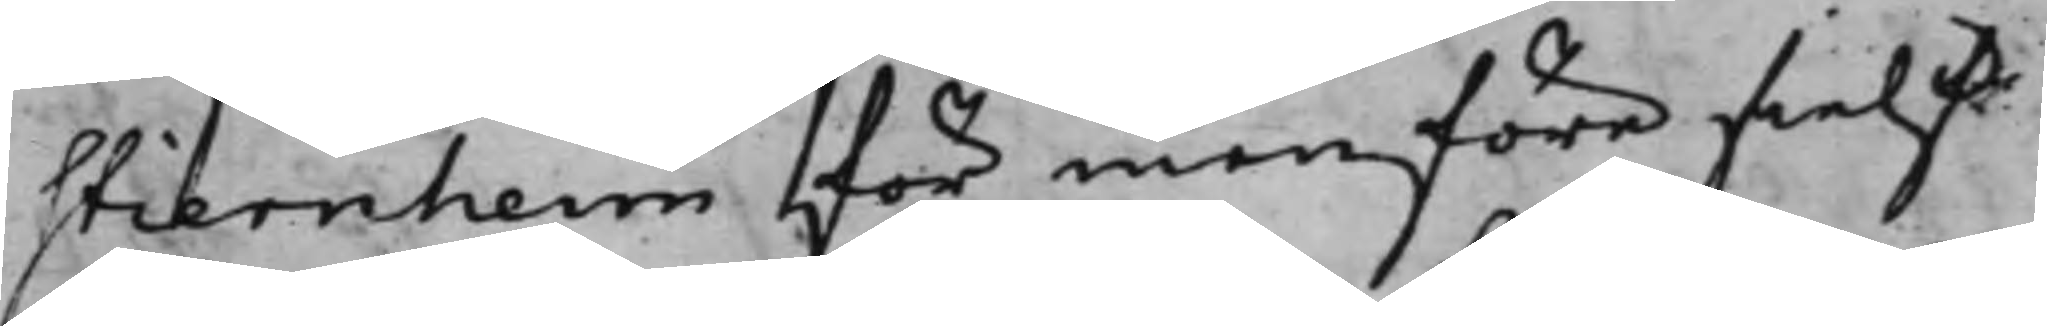Stiernheim för menföre sielf
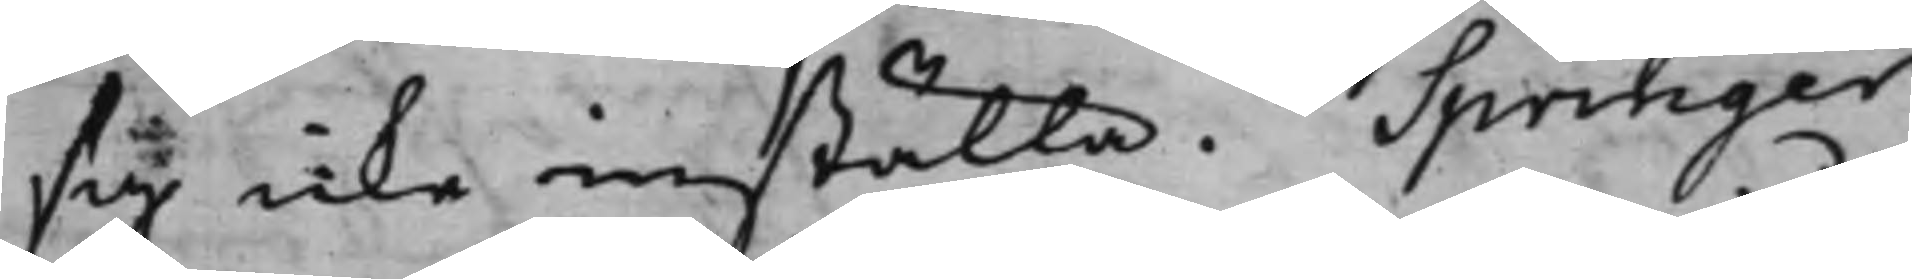sig icke inställa. Springer
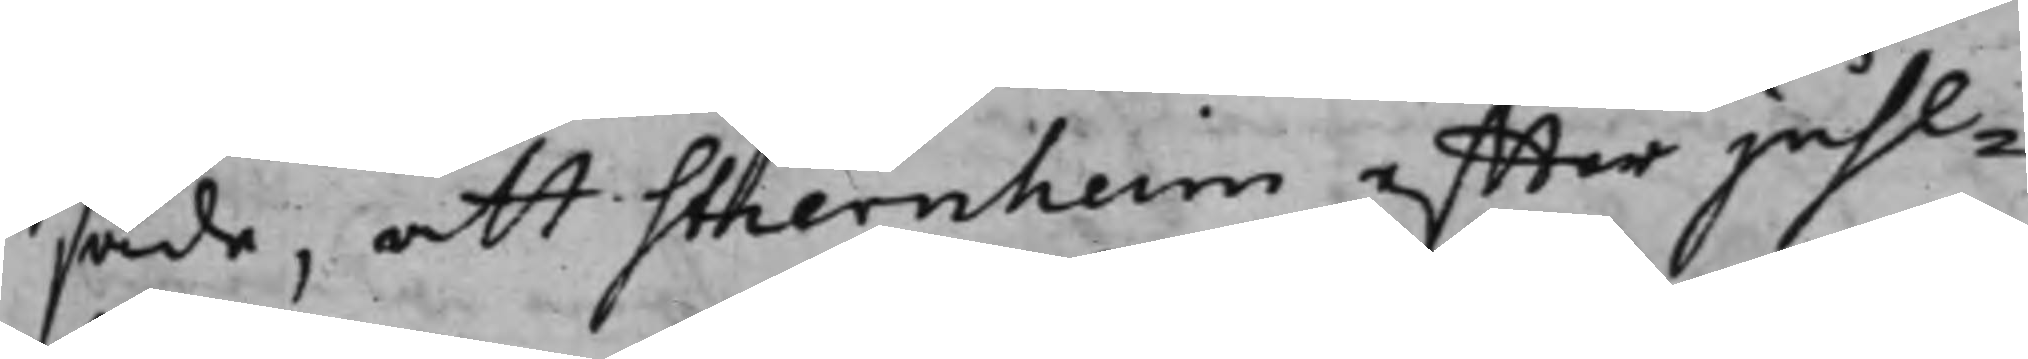sade, att Stiernheim effter juhl¬
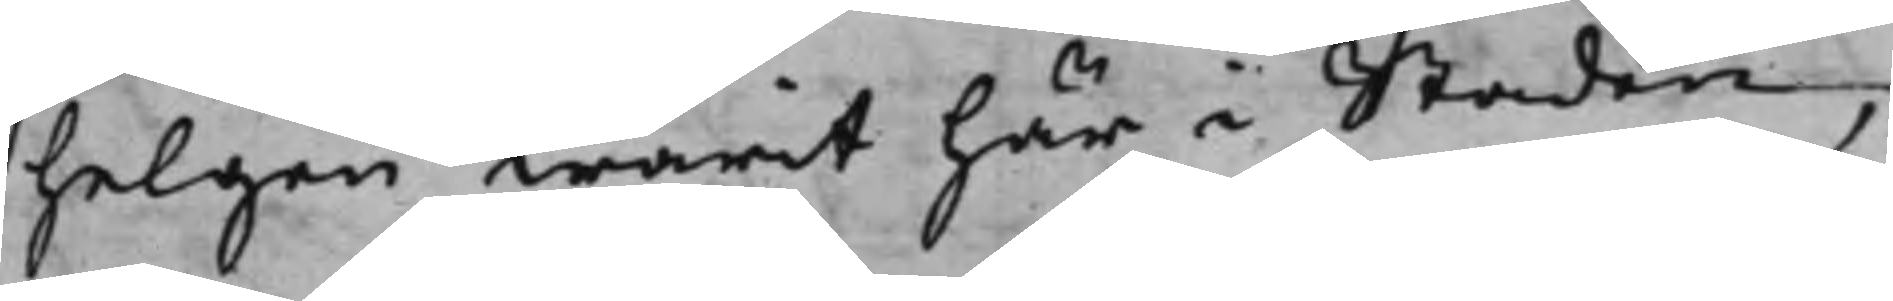helgen warit här i Staden,
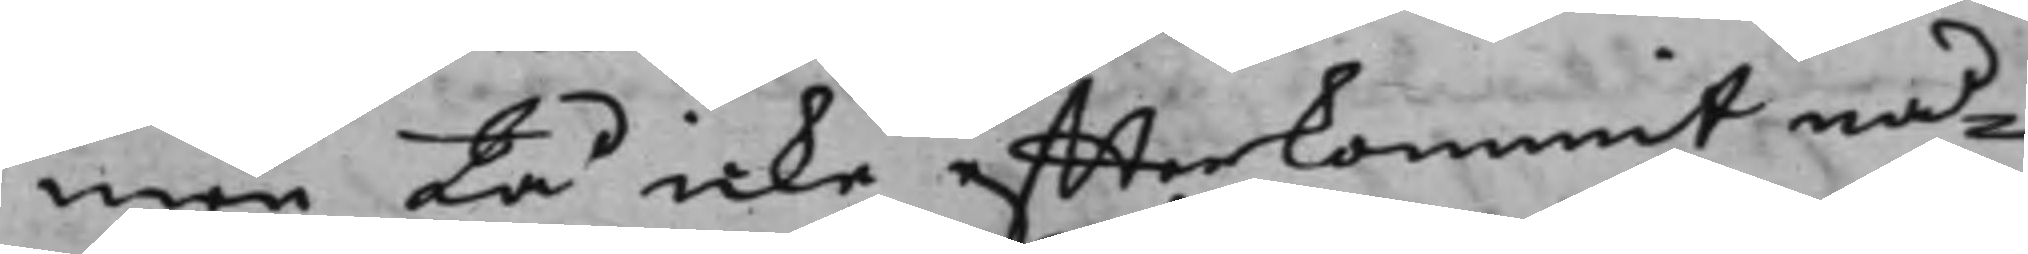men tå icke effterkommit nå¬
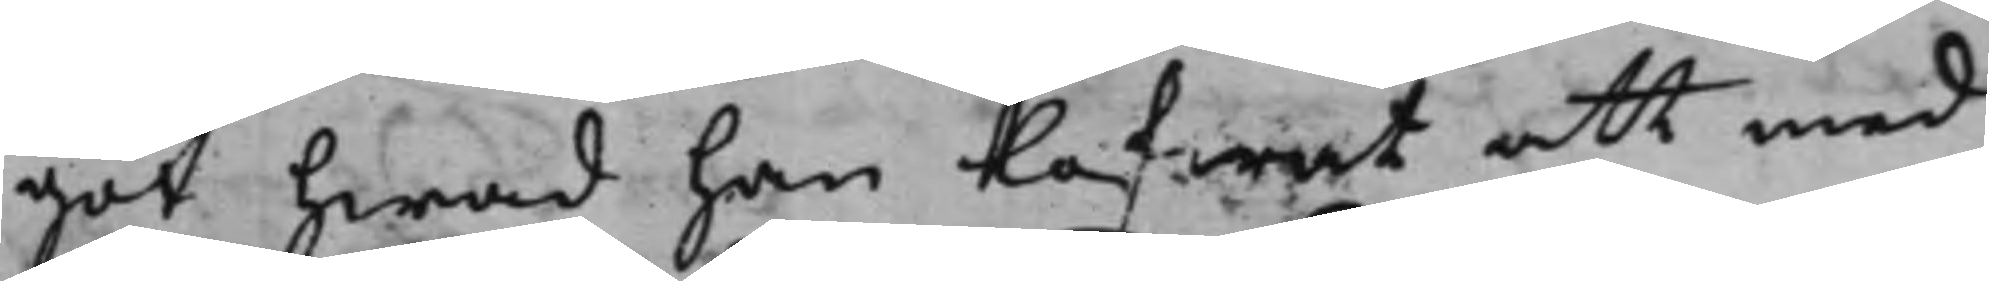got hwad han lofwat att med
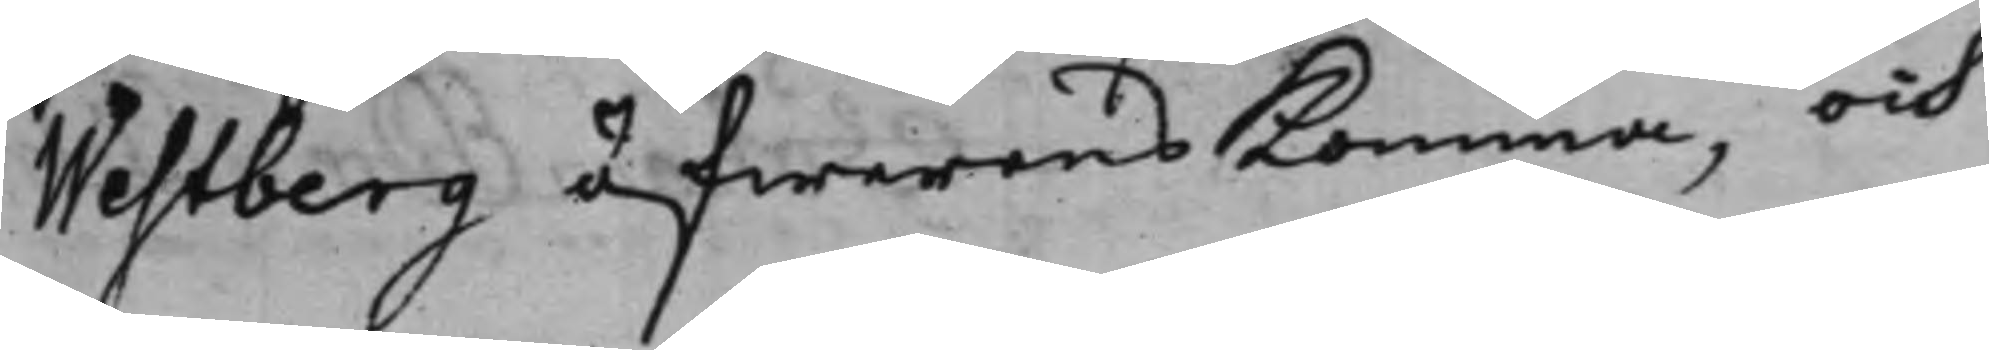Westberg öfwerens Komma, och
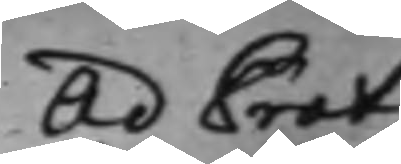Ad Prot.
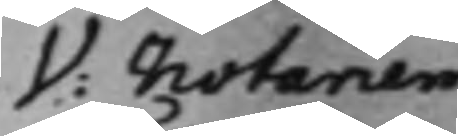V: Notarien
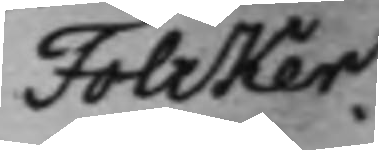Folcker.
